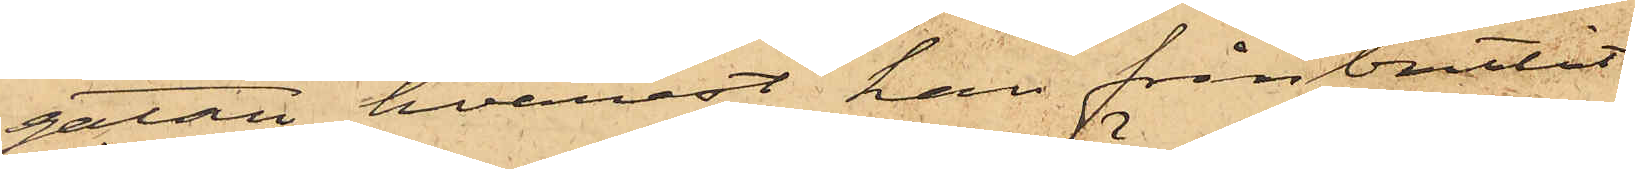gatan, hvarest han frånbrutit
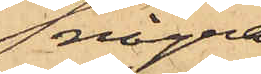några
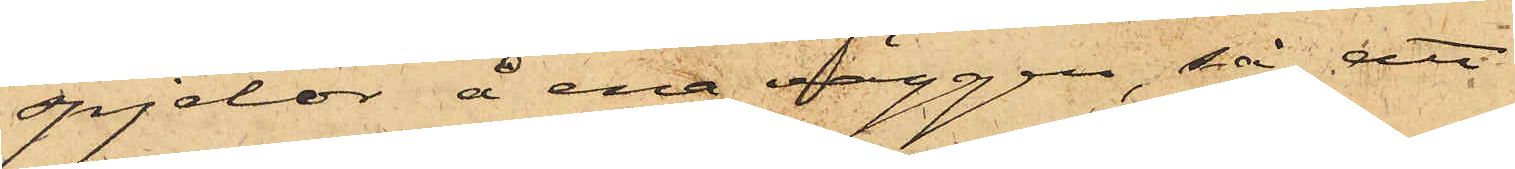spjelor å ena väggen, så att
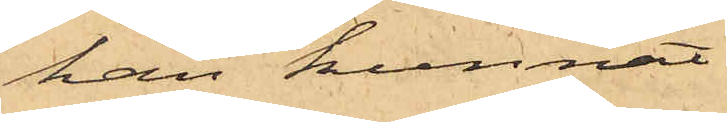han kunnat
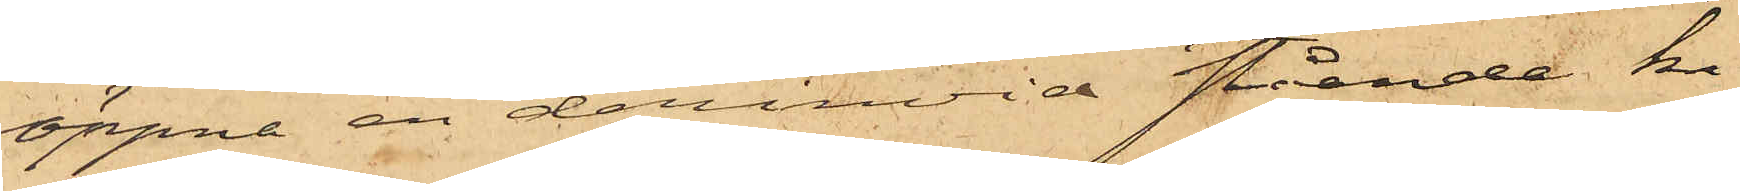öppna en derinvid stående ki¬
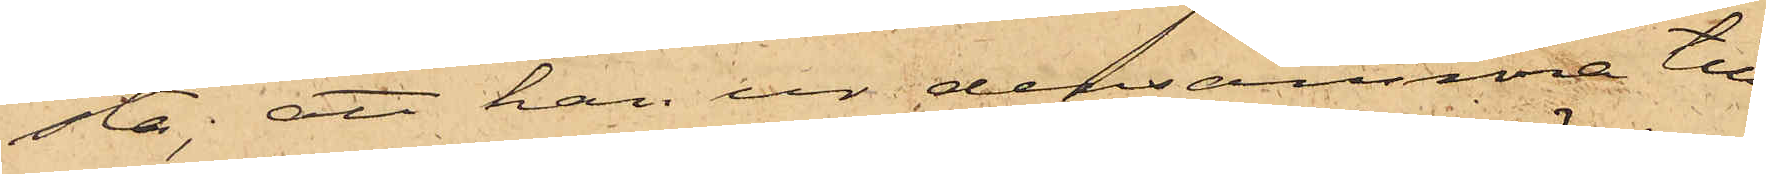sta; att han ur densamma till¬
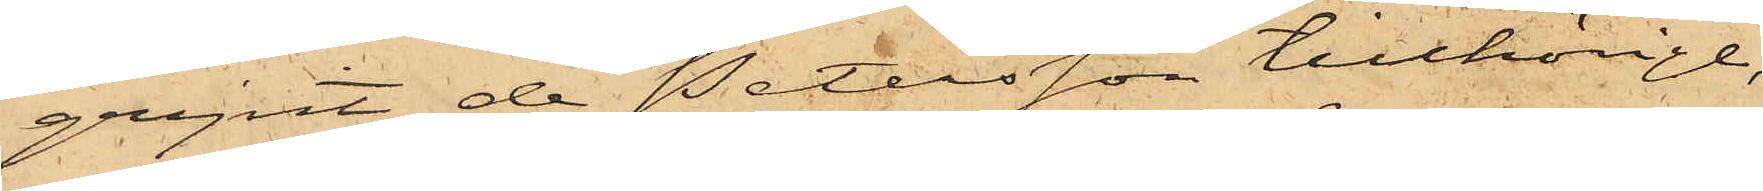gripit de Petersson tillhörige,
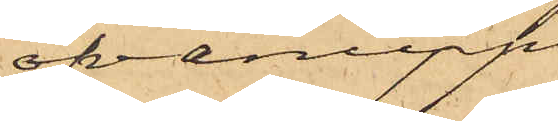ofvanupp¬
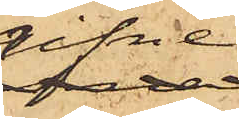gifvne
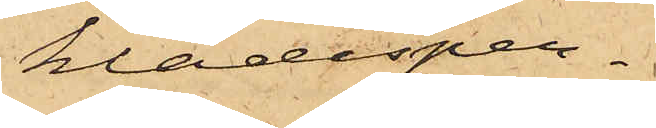klädesper¬
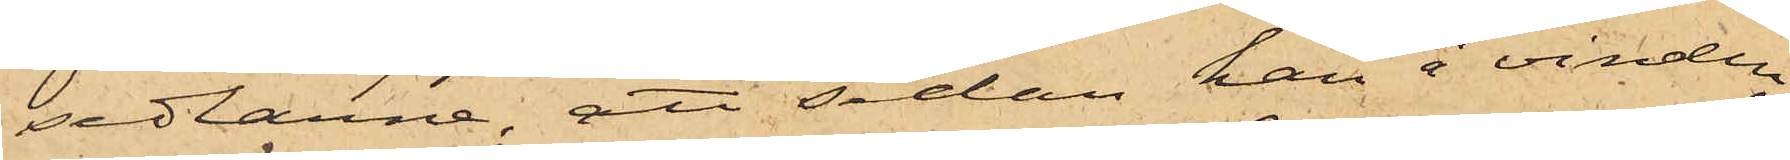sedlarne; att sedan han å vinden
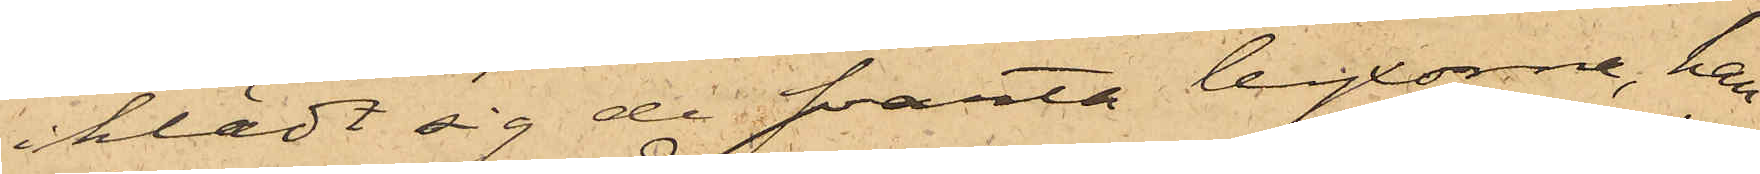iklädt sig de svarta byxorna, han
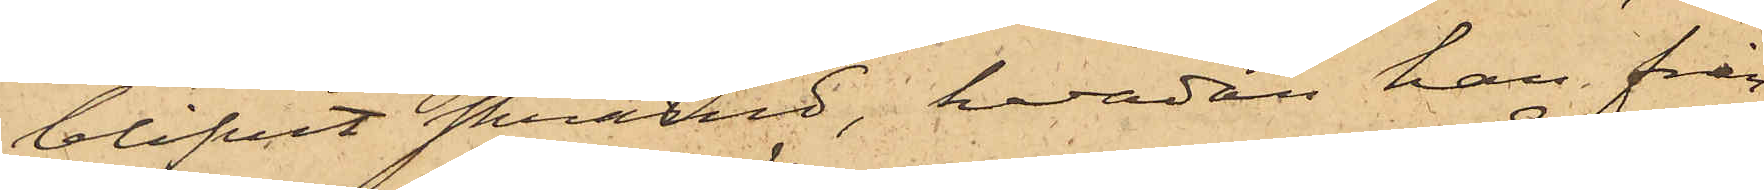blifvit skrämd, hvadan han från¬
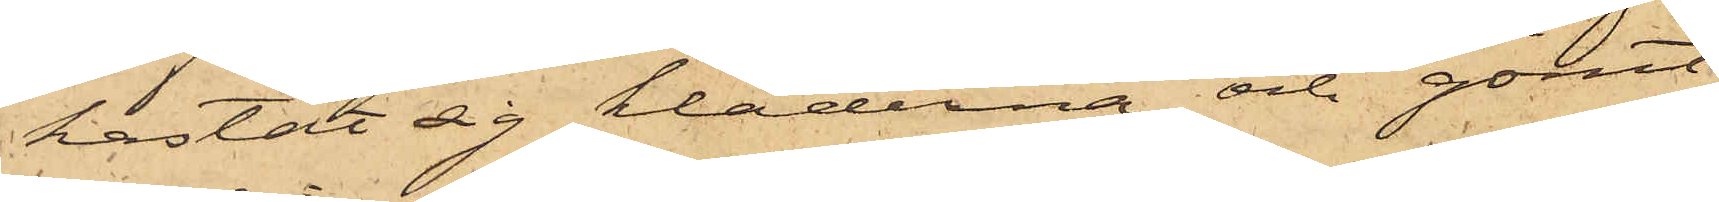kastat sig kläderna och gömt
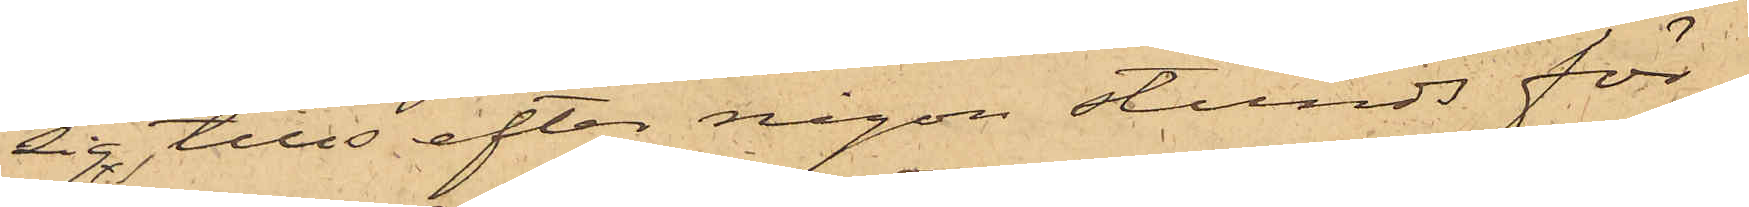sig, tills efter någon stunds för
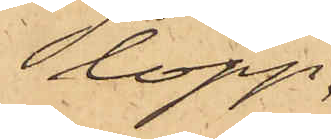lopp
